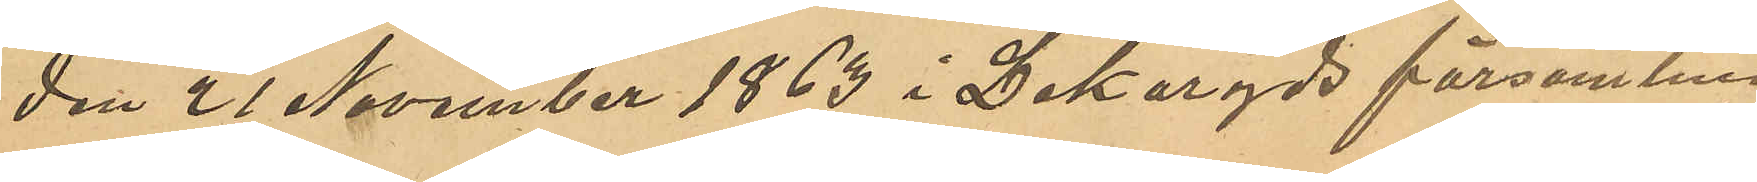den 21 November 1863 i Lekaryds församling
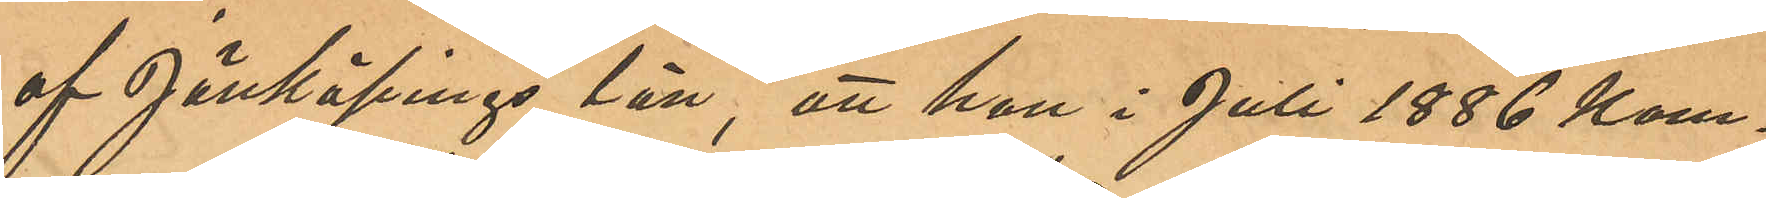af Jönköpings län, att hon i Juli 1886 kom¬
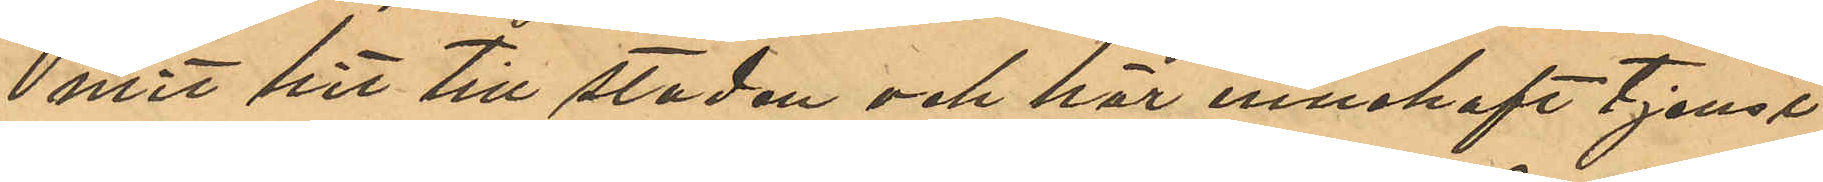mit hit till staden och här innehaft tjenst
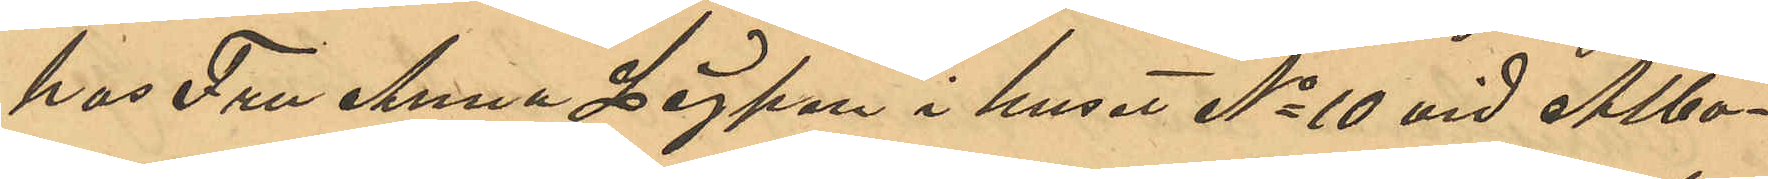hos Fru Anna Lejpen i huset No 10 vid Albo¬
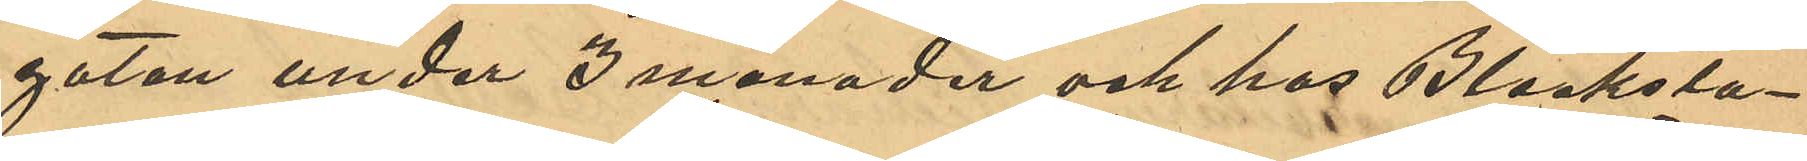gatan under 3 månader och hos Blecksla¬
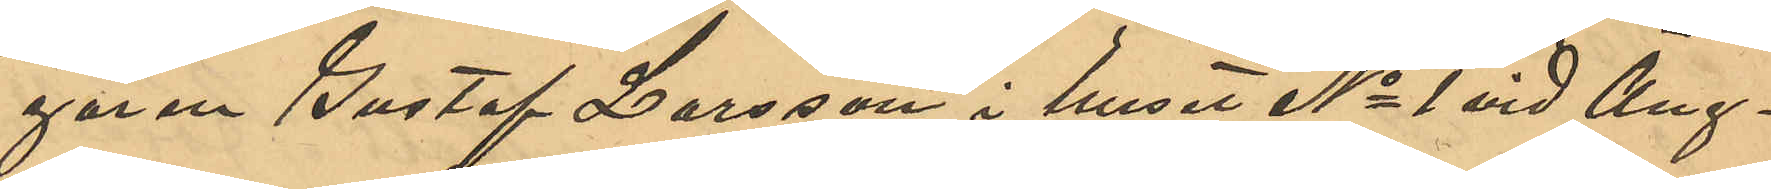garen Gustaf Larsson i huset No 1 vid Äng¬
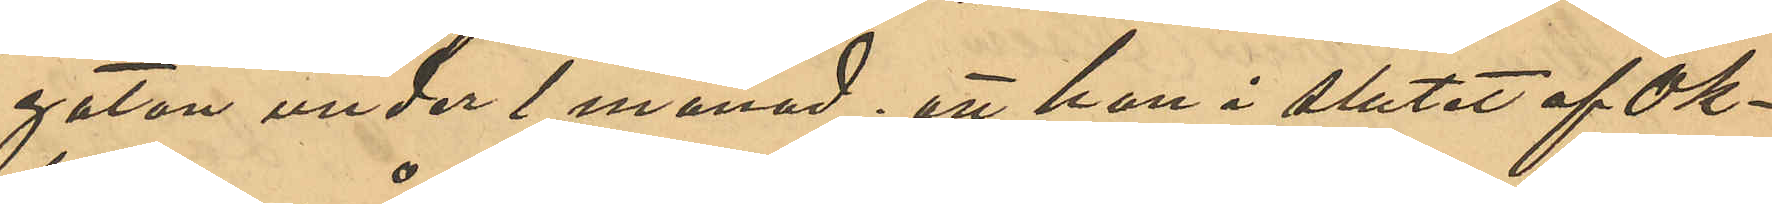gatan under 1 månad; att hon i slutet af Ok¬
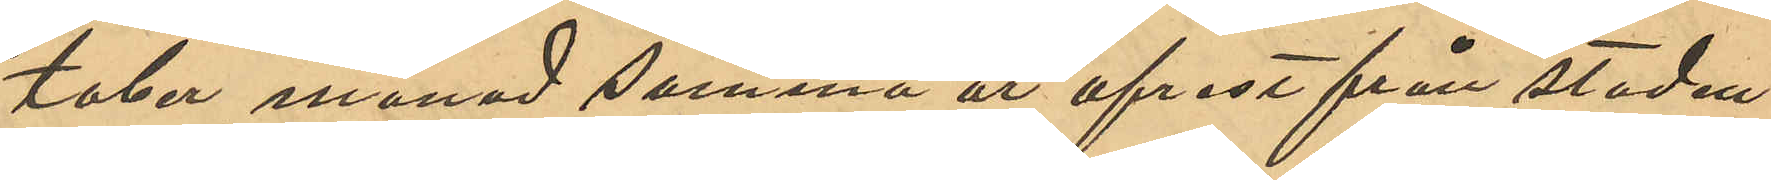tober månad samma år afrest från staden
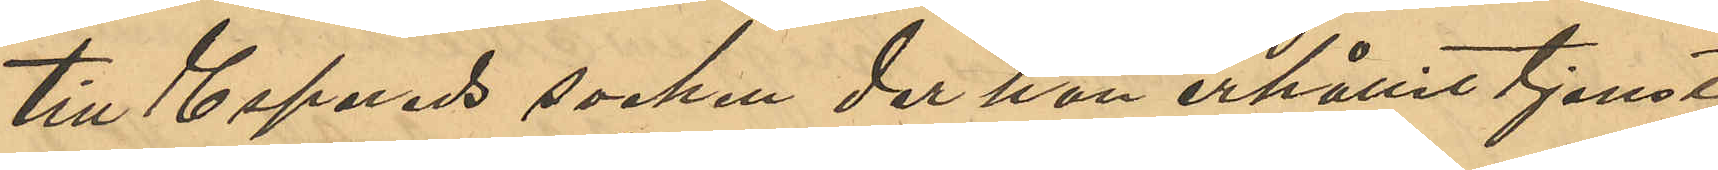till Espereds socken der hon erhållit tjenst
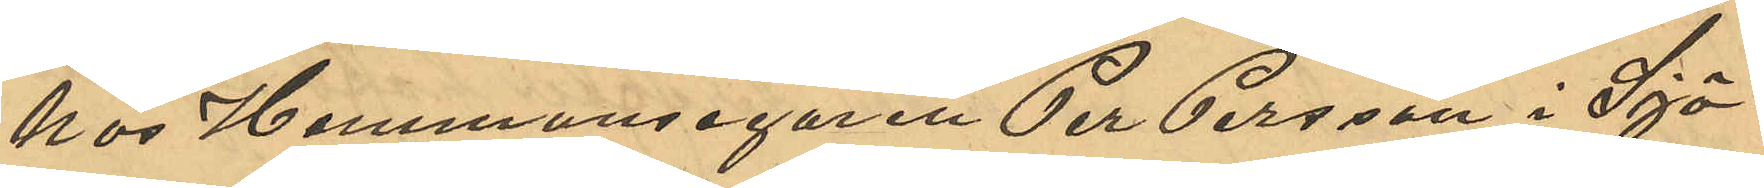hos Hemmansegaren Per Persson i Sjö¬
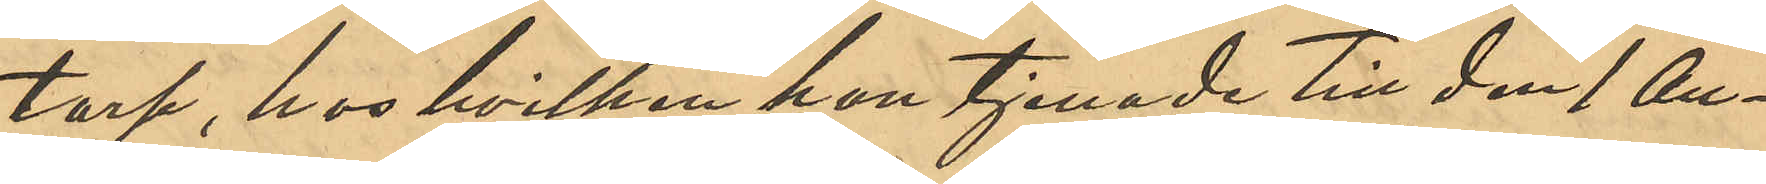torp, hos hvilken hon tjenade till den 1 Au¬
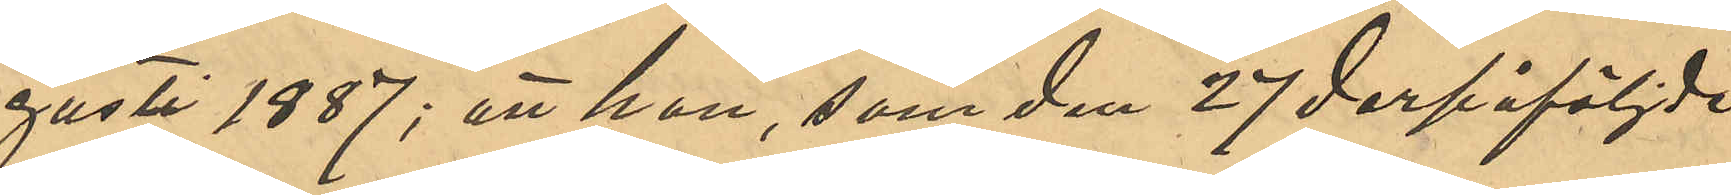gusti 1887; att hon, som den 27 derpåföljde
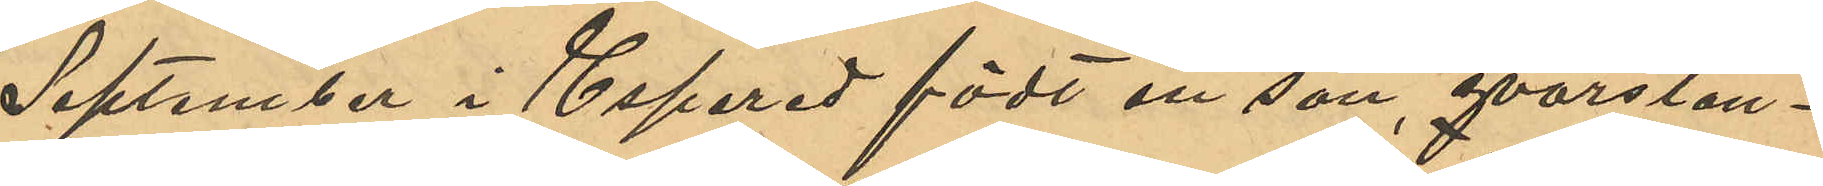September i Espered födt en son, qvarstan¬
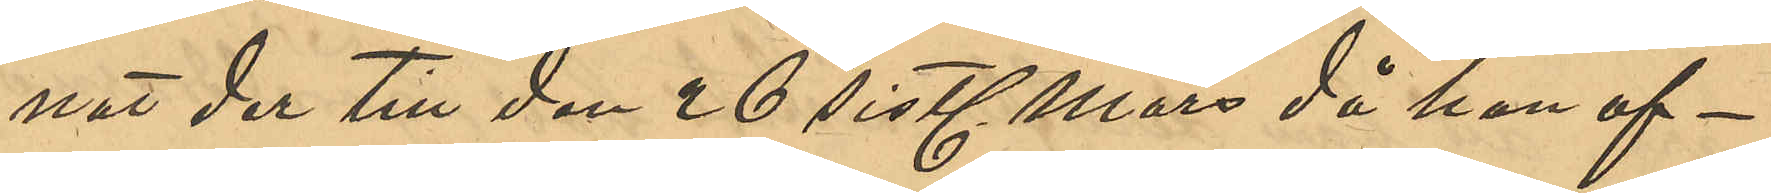nat der till den 26 sistl Mars då hon af¬
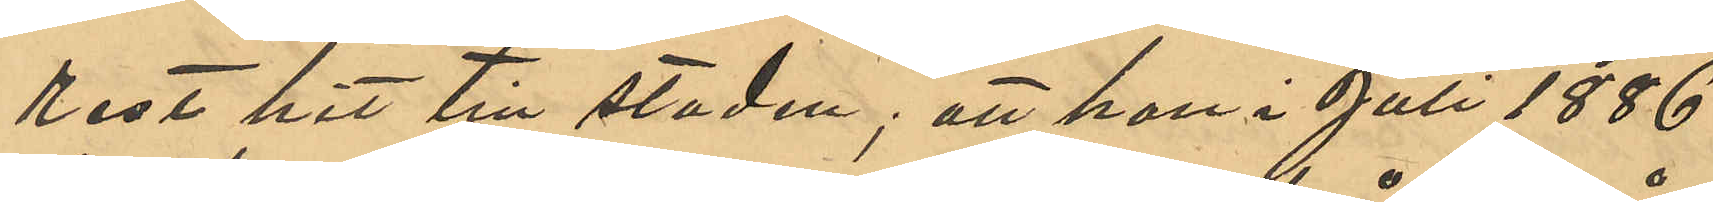rest hit till staden; att hon i Juli 1886
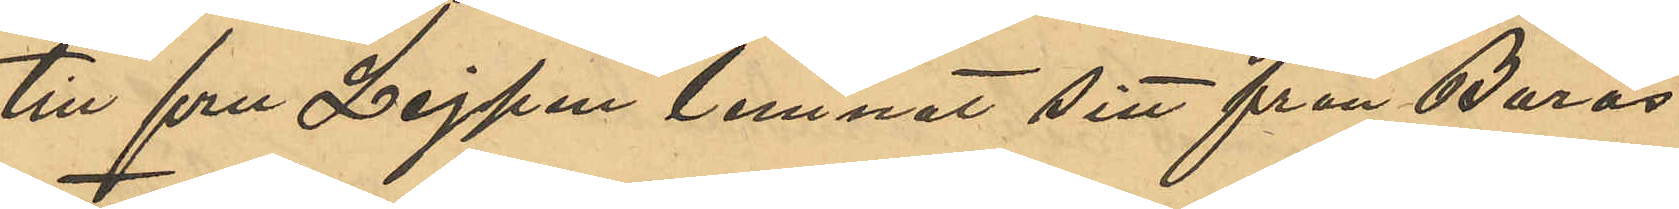till fru Leipen lemnat sitt från Borås
